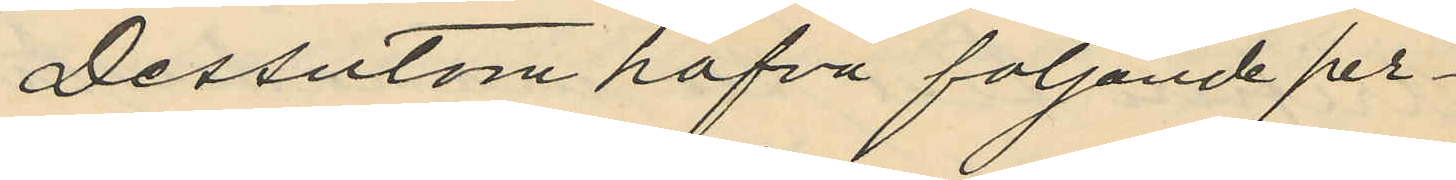Dessutom hafva följande per¬
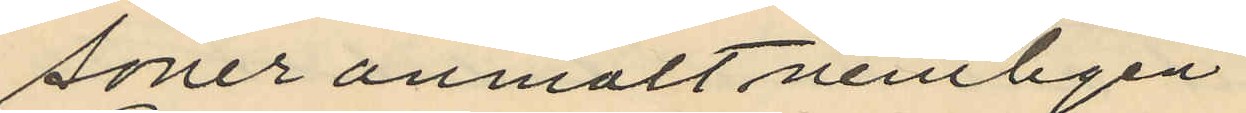soner anmält nemligen
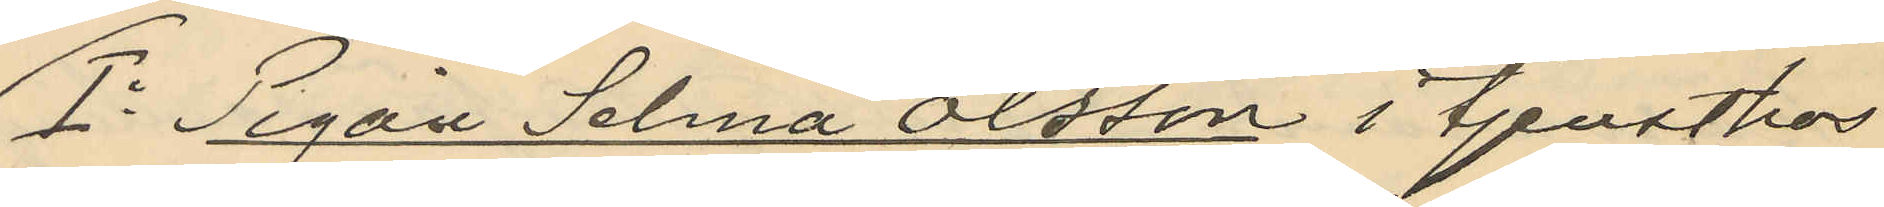1o Pigan Selma Olsson, i tjenst hos
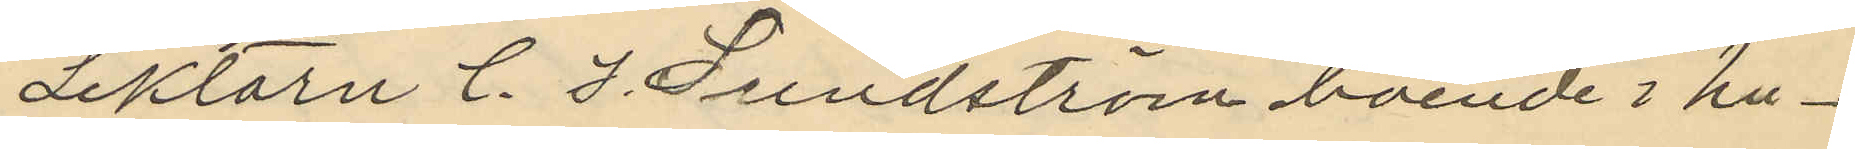Lektorn C. I. Lundström boende i hu¬
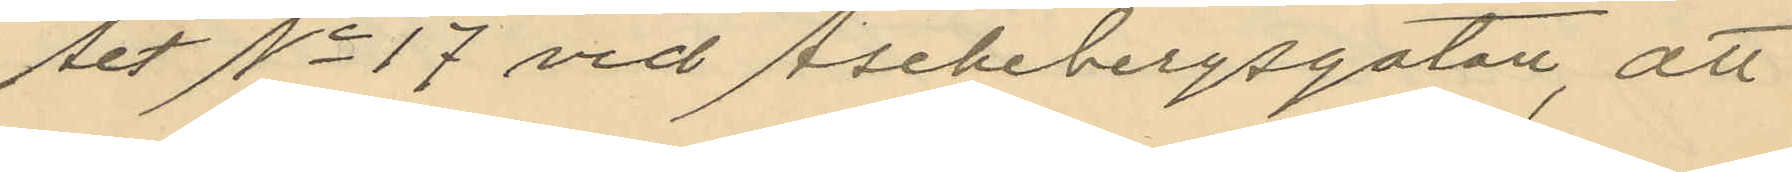set No 17 vid Aschebergsgatan, att
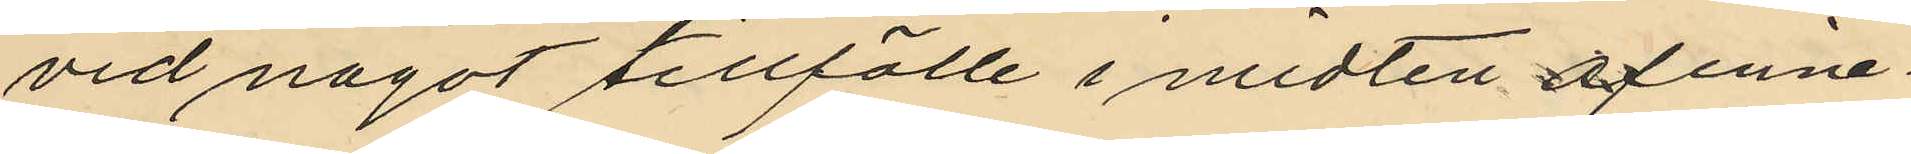vid något tillfälle i midten af inne¬
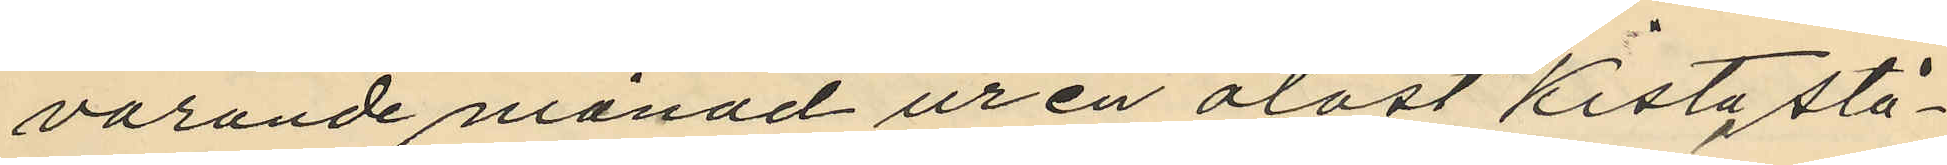varande månad ur en olåst kista stå¬
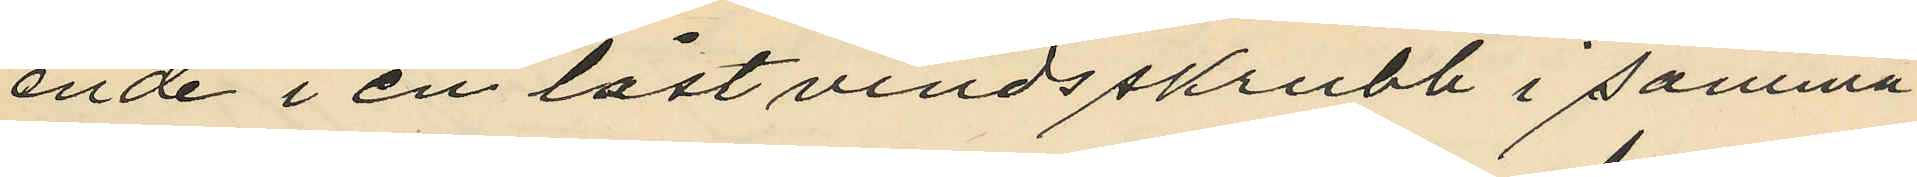ende i en låst vindsskrubb i samma
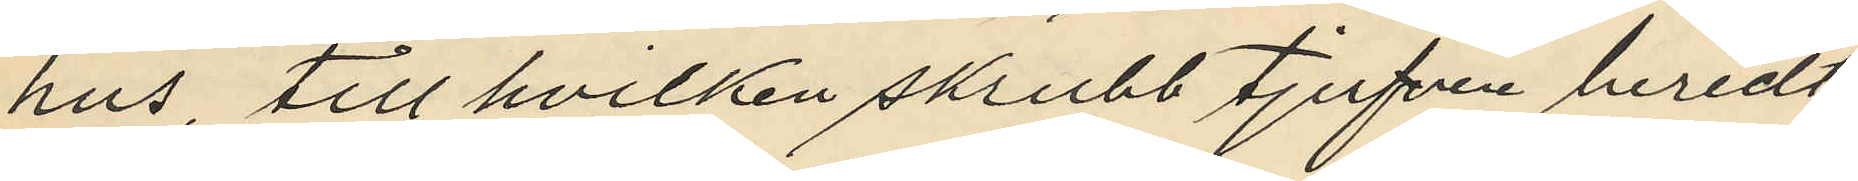hus, till hvilken skrubb tjufven beredt
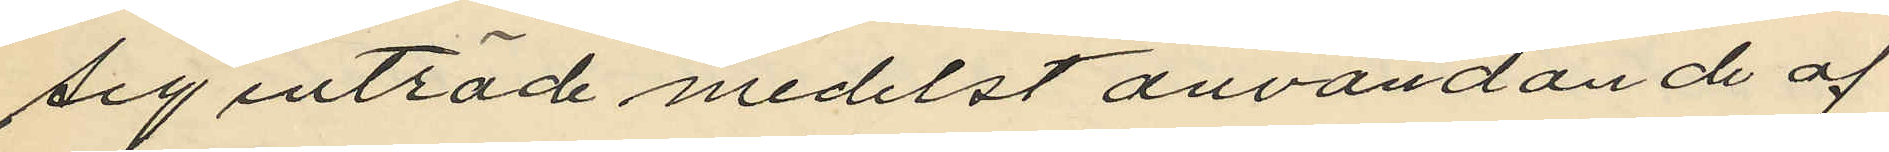sig inträde medelst användande af
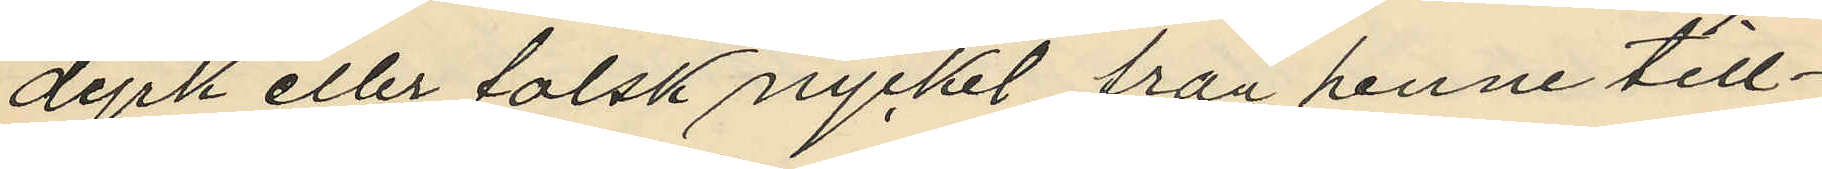dyrk eller falsk nyckel från henne till¬
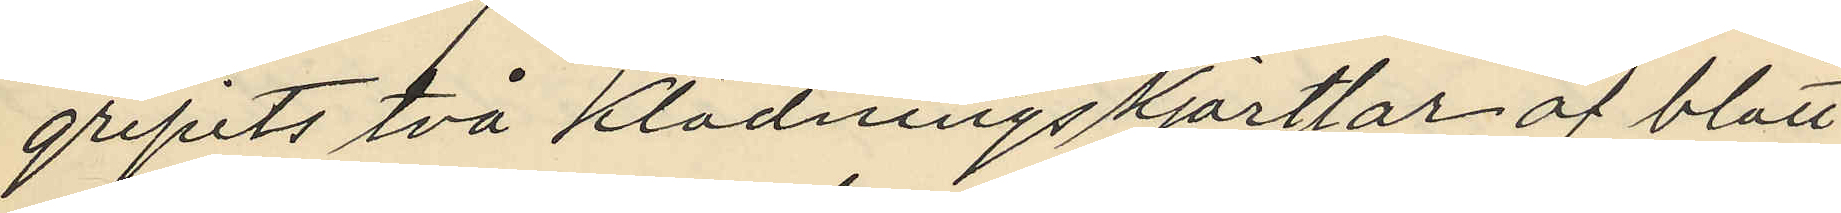gripits två klädningskjortlar af blått
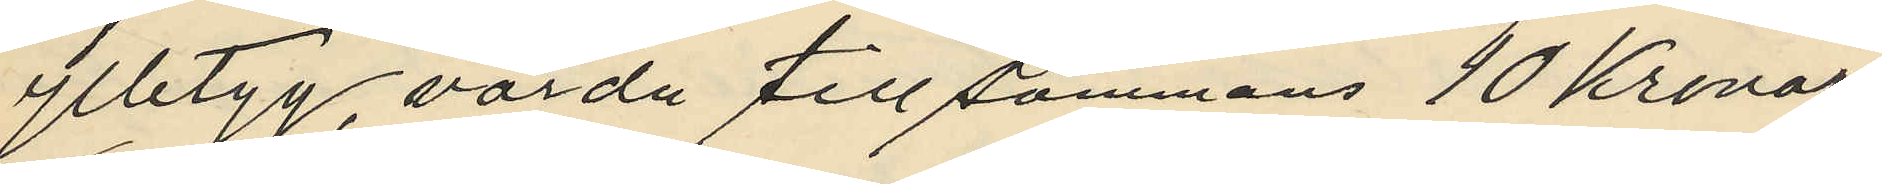ylletyg, värda tillsammans 10 Kronor
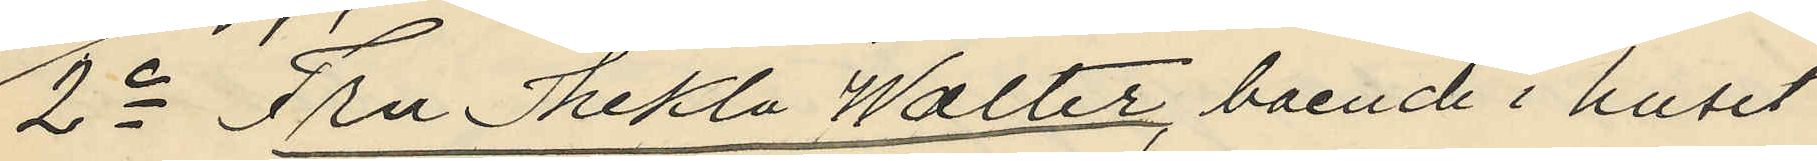2o Fru Thekla Walter, boende i huset
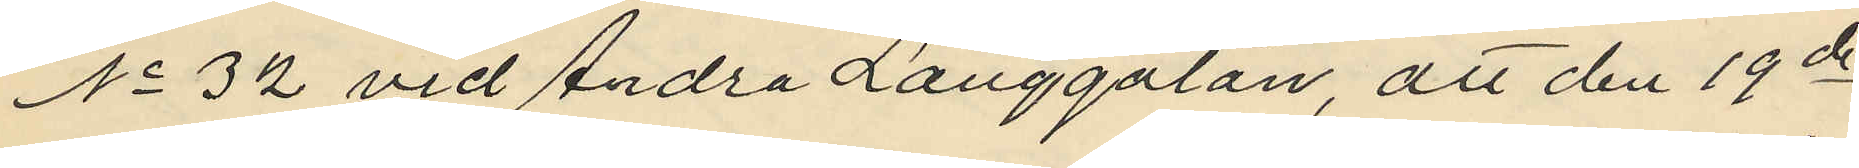No 32 vid Andra Långgatan, att den 19de
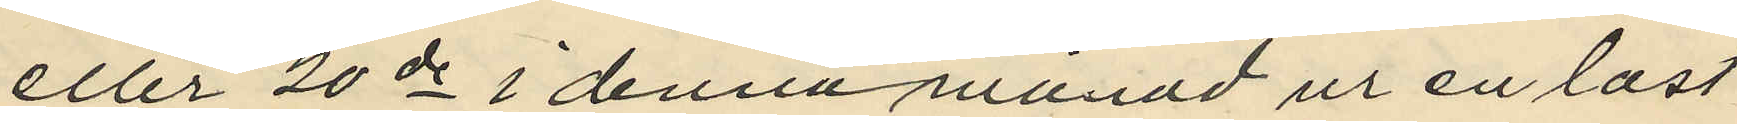eller 20de i denna månad ur en låst
